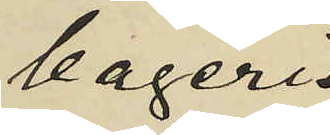bageri
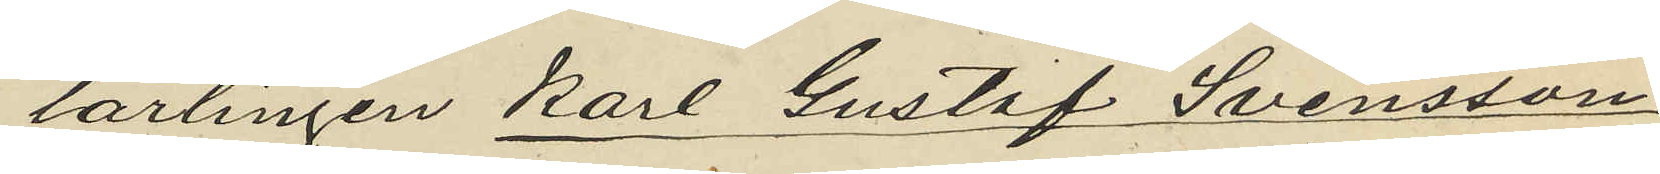lärlingen Karl Gustaf Svensson
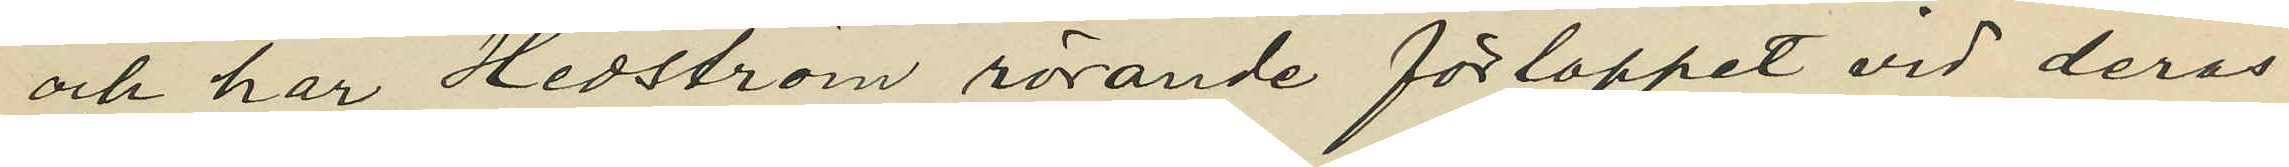och har Hedström rörande förloppet vid deras
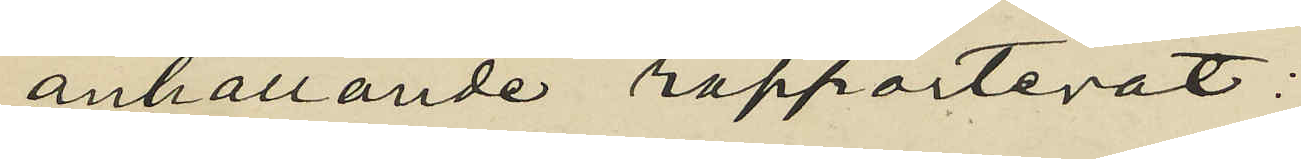anhållande rapporterat;
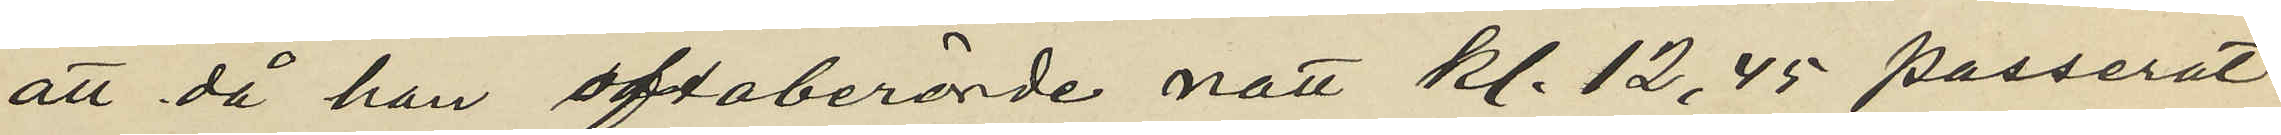att då han oftaberörde natt kl. 12,45 passerat
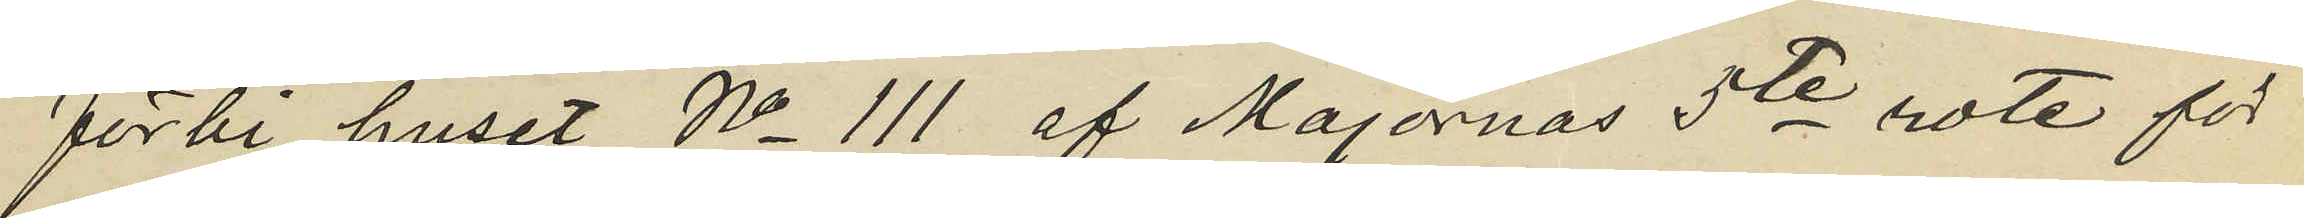förbi huset No 111 af Majornas 5te rote för
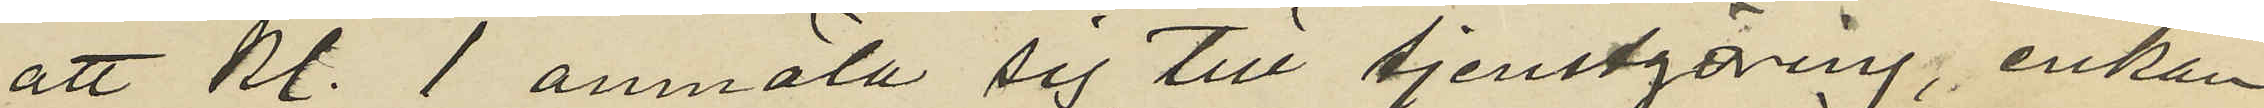att kl. 1 anmäla sig till tjenstgöring, enkan
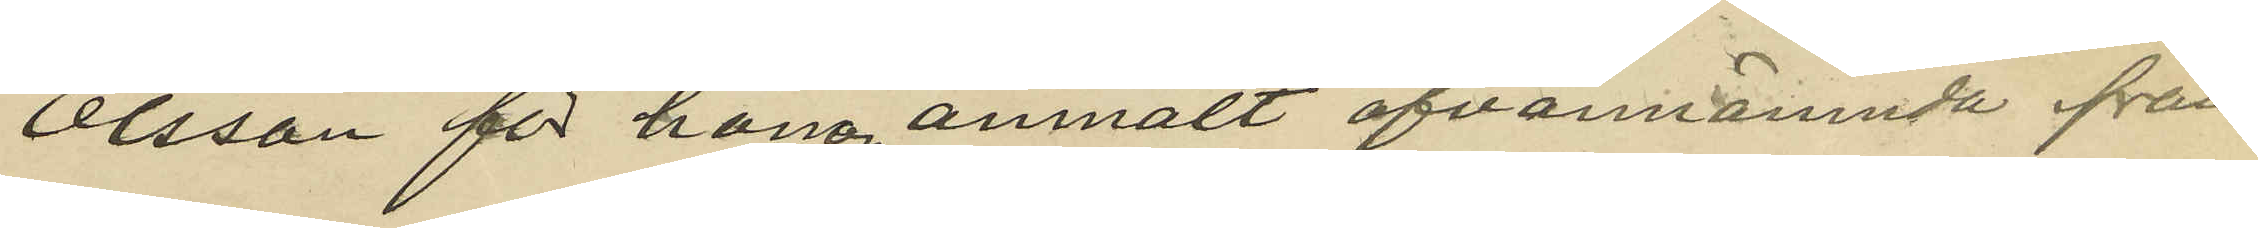Olsson för honom anmält ofvannämnda från
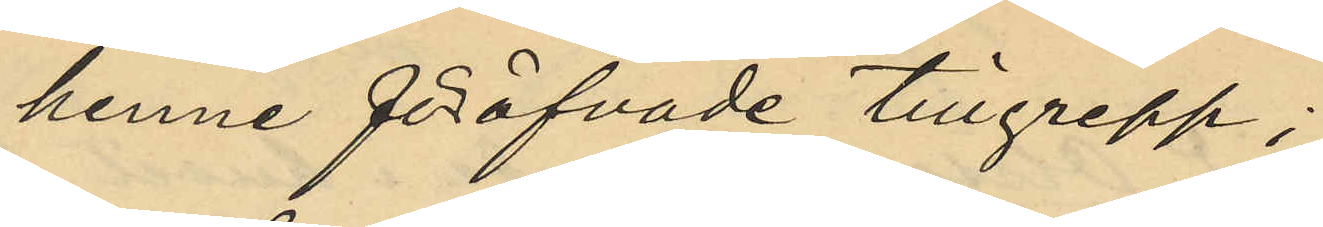henne föröfvade tillgrepp;
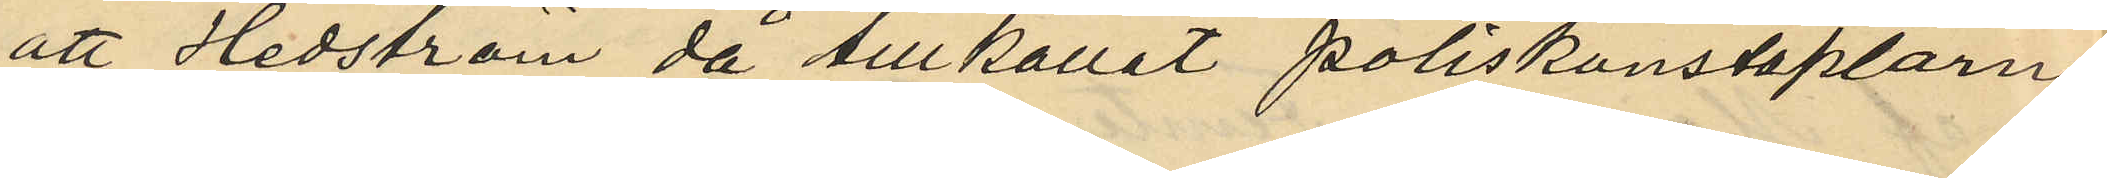att Hedström då tillkallat poliskonstaplarne
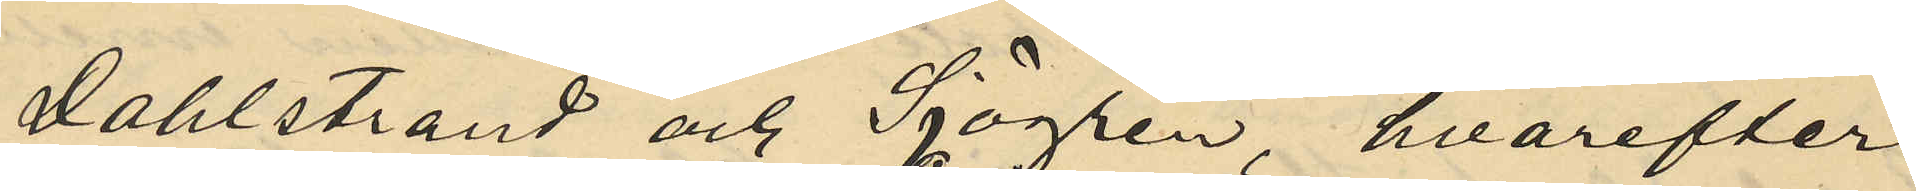Dahlstrand och Sjögren, hvarefter
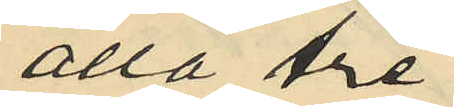alla tre
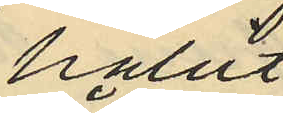hållit
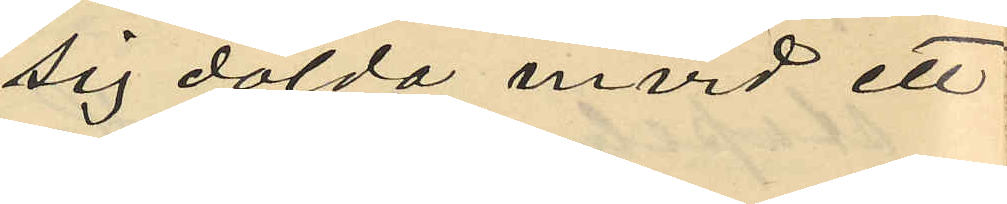sig dolda invid ett
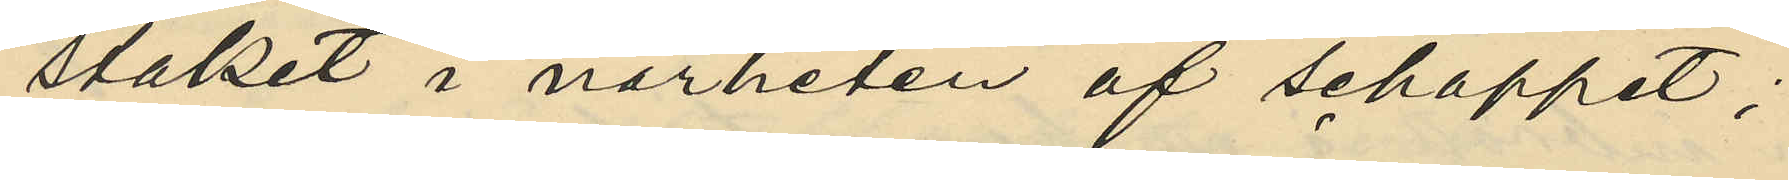staket i närheten af schappet;
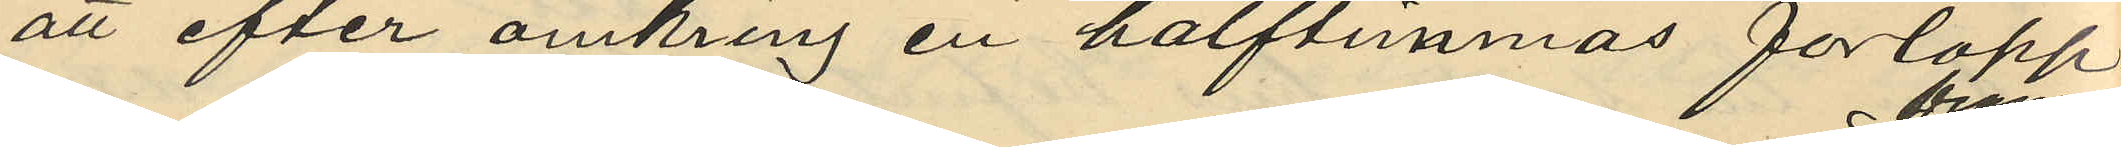att efter omkring en halftimmas förlopp
